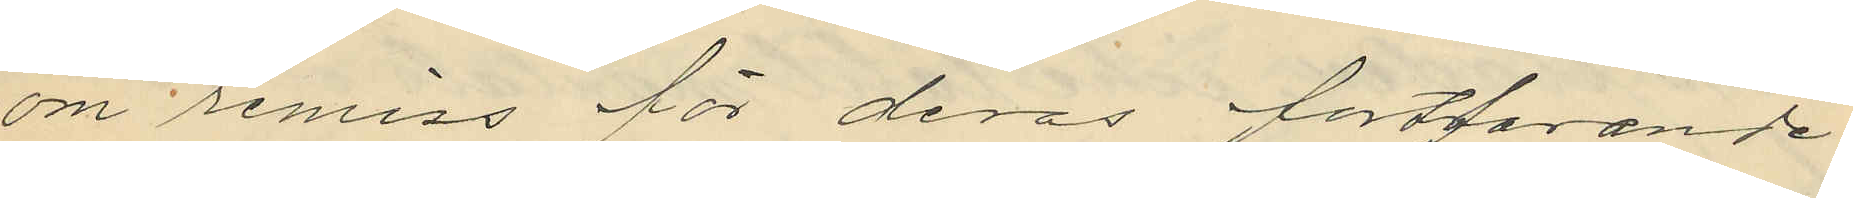om remiss för deras fortfarande
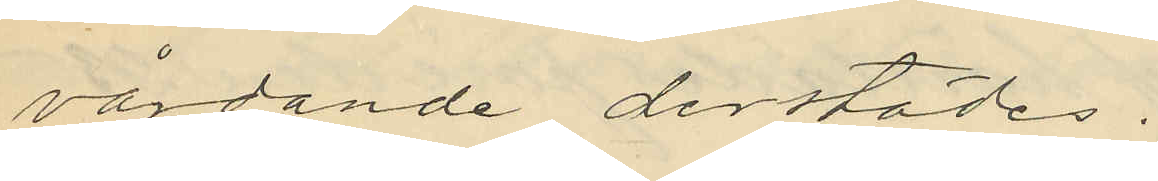vårdande derstädes.
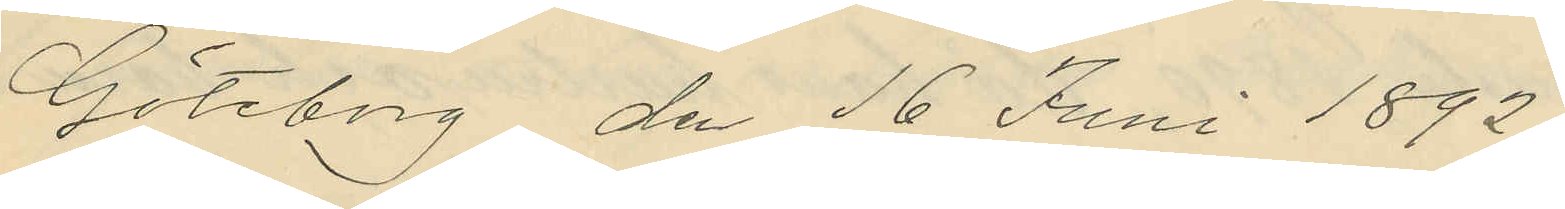Göteborg dn 16 Juni 1892.
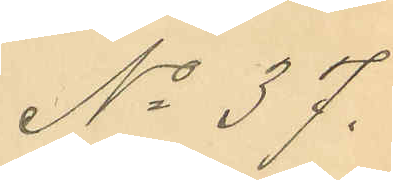No 37.
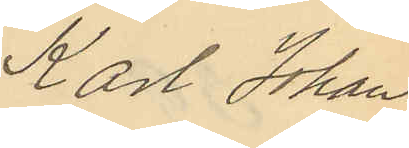Karl Johan
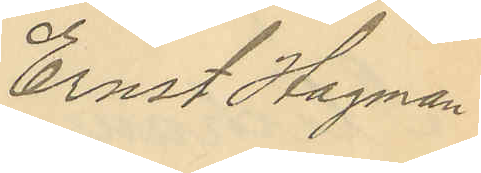Ernst Hagman.
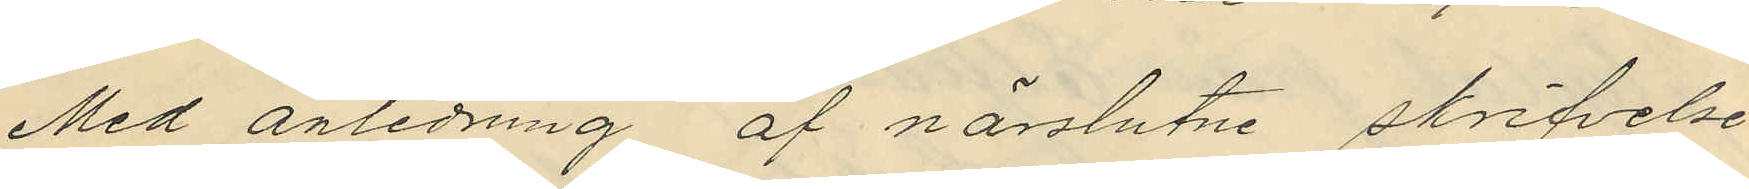Med anledning af närslutne skrifvelse
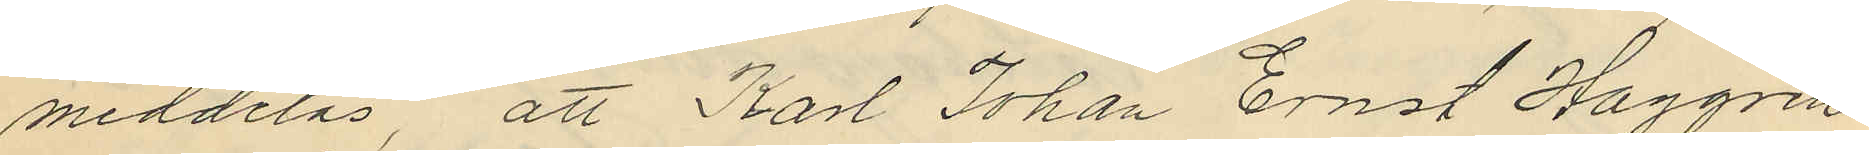meddelas, att Karl Johan Ernst Haggren
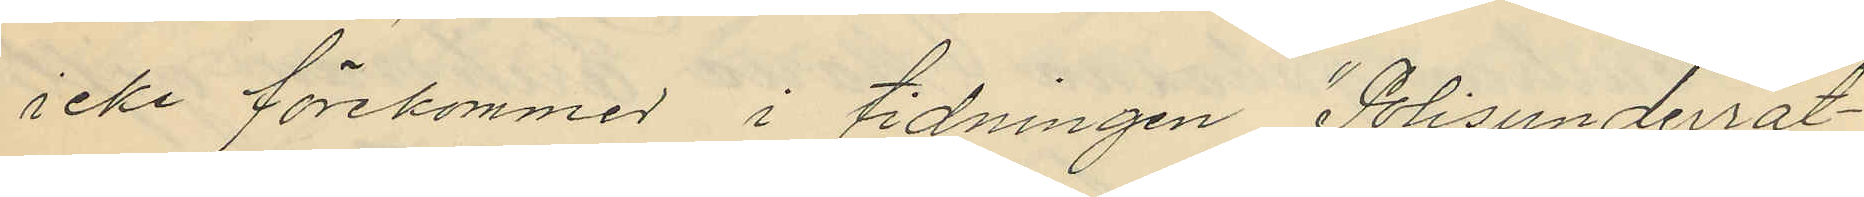icke förekommer i tidningen "Polisunderrät¬
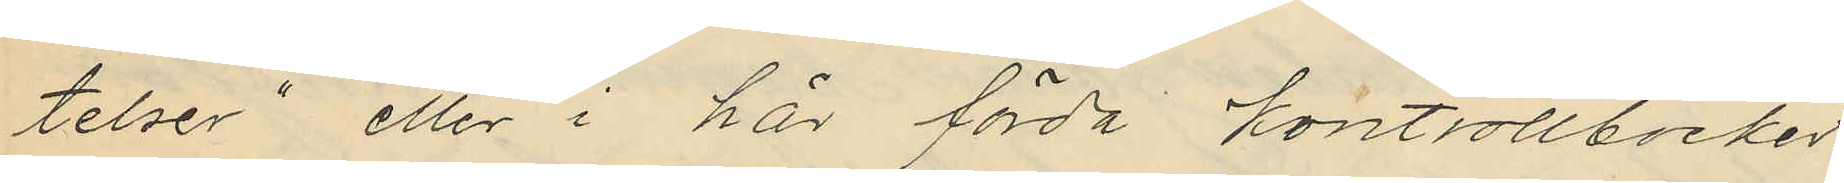telser" eller i här förda kontrollböcker
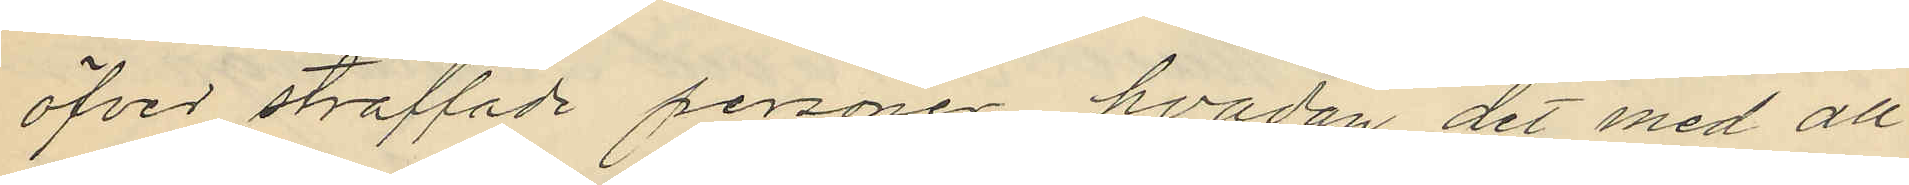öfver straffade personer hvadan det med all
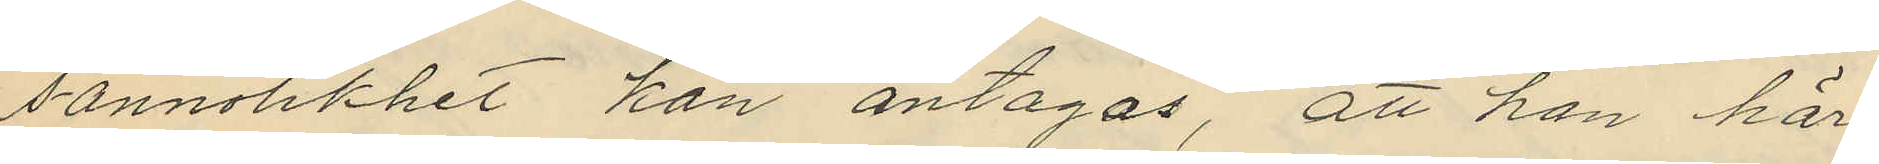sannolikhet kan antagas, att han här
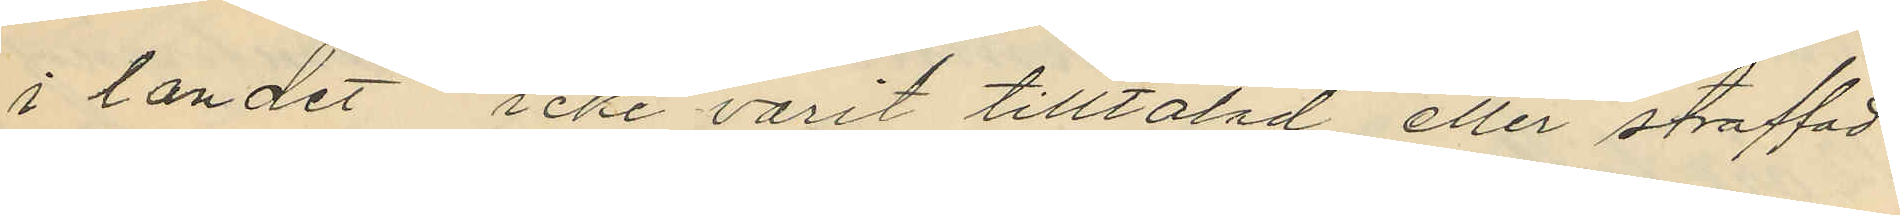i landet icke varit tilltalad eller straffad
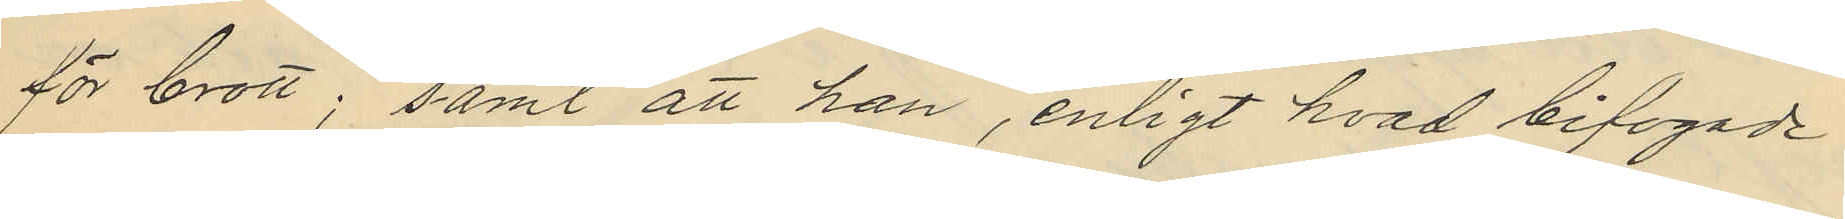för brott; samt att han, enligt hvad bifogade
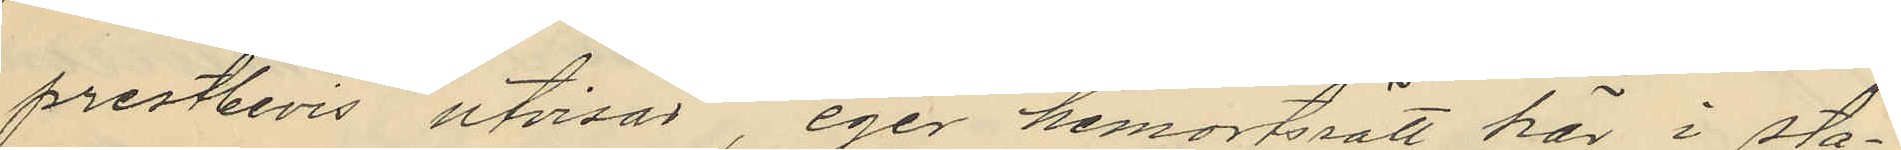prestbevis utvisar, eger hemortsrätt här i sta¬
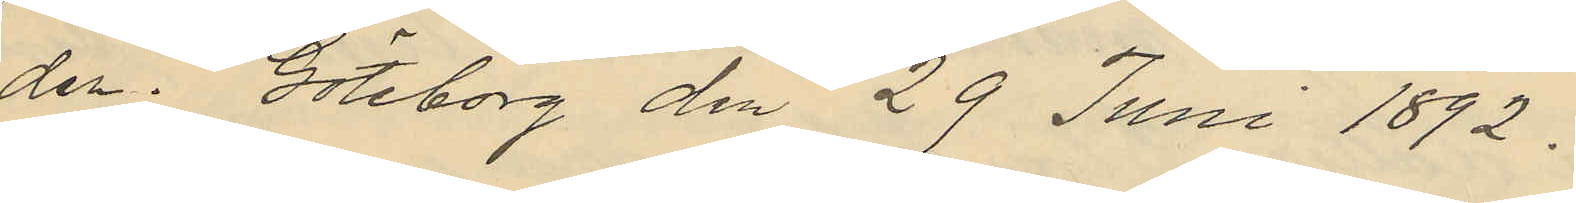den. Göteborg den 29 Juni 1892.
